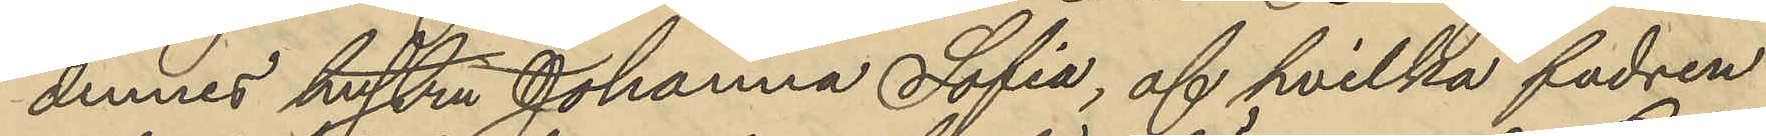dennes hustru Johanna Sofia, af hvilka fadren
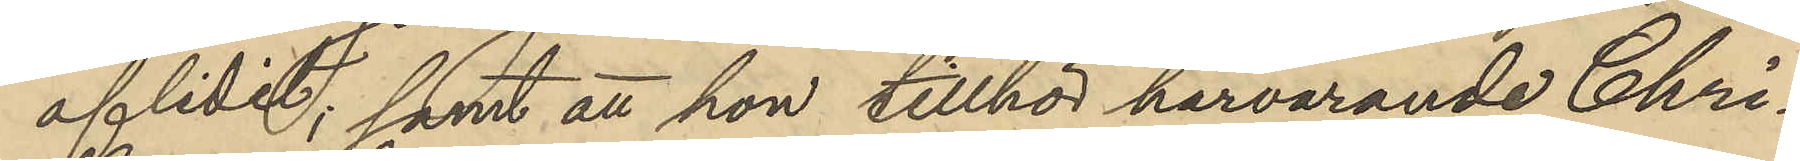aflidit; samt att hon tillhör härvarande Chri¬
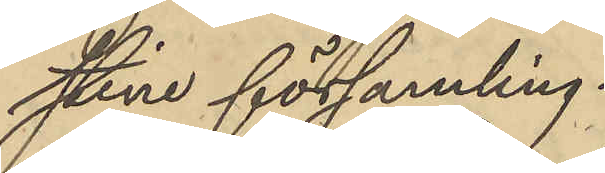stine församling.
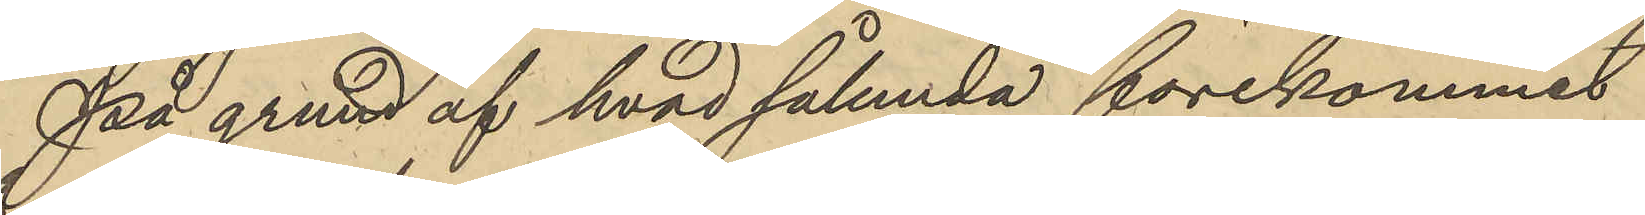På grund af hvad sålunda förekommit
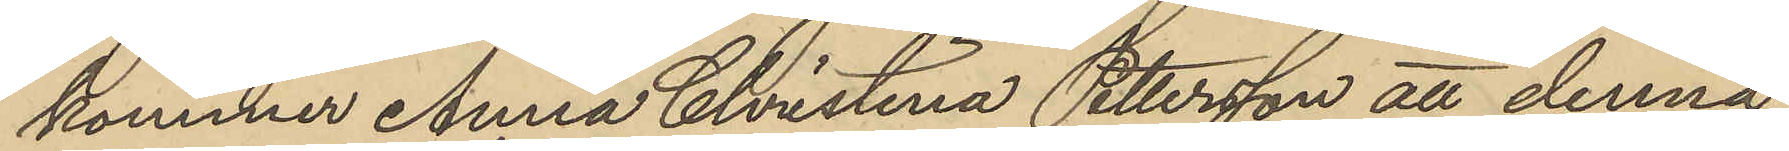kommer Anna Christina Pettersson att denna
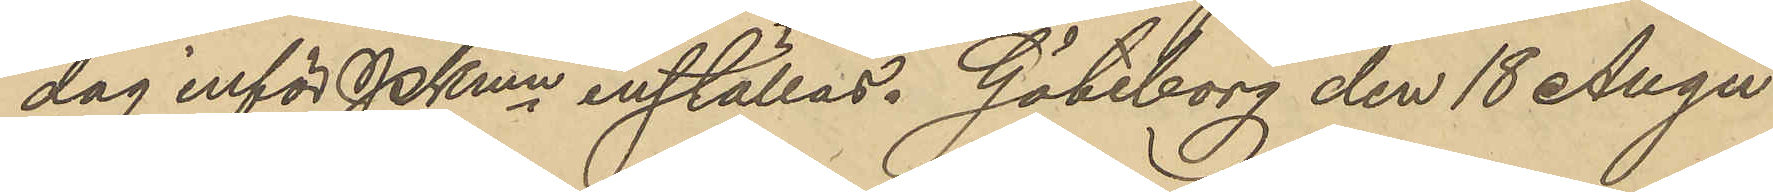dag inför PKmn inställas. Göteborg den 18 Augu¬
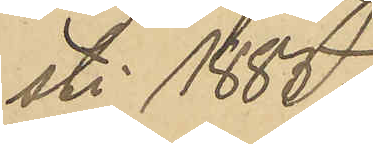sti 1885.
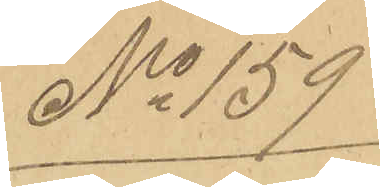No 159
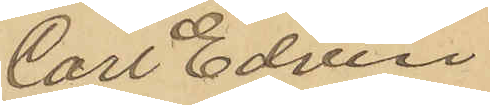Carl Edvin
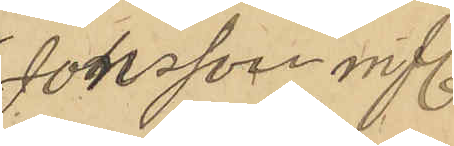Jonsson m fl.
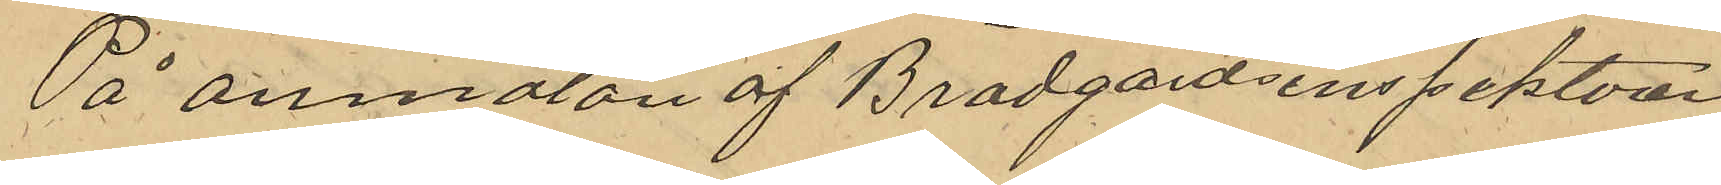På anmälan af Brädgårdsinspektören
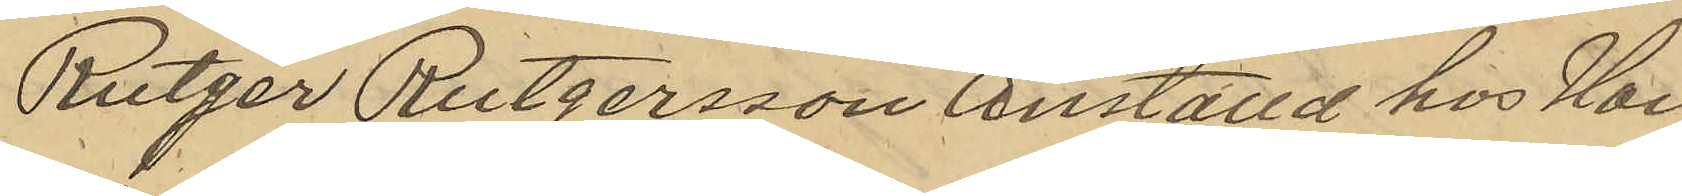Rutger Rutgersson anställd hos Han¬
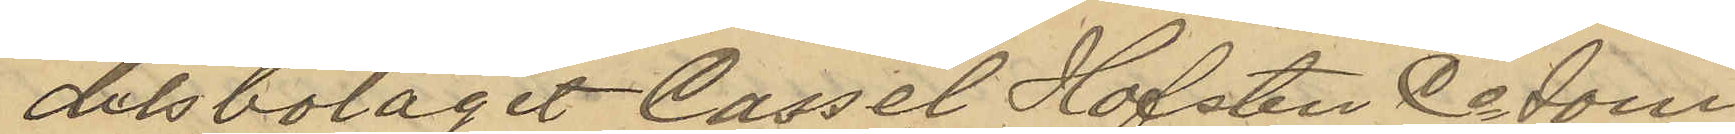delsbolaget Cassel Hofsten Co som
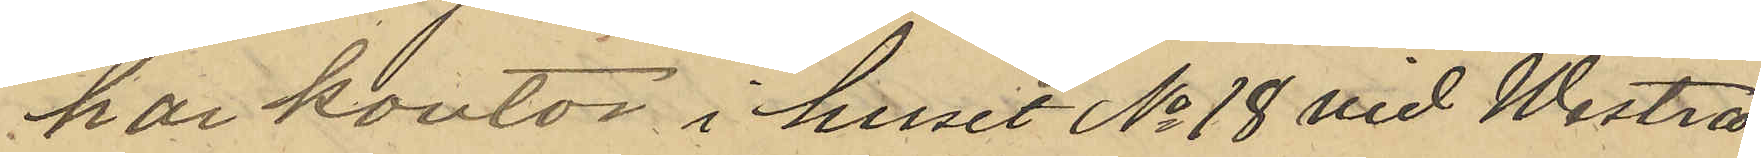har kontor i huset No 18 vid Westra
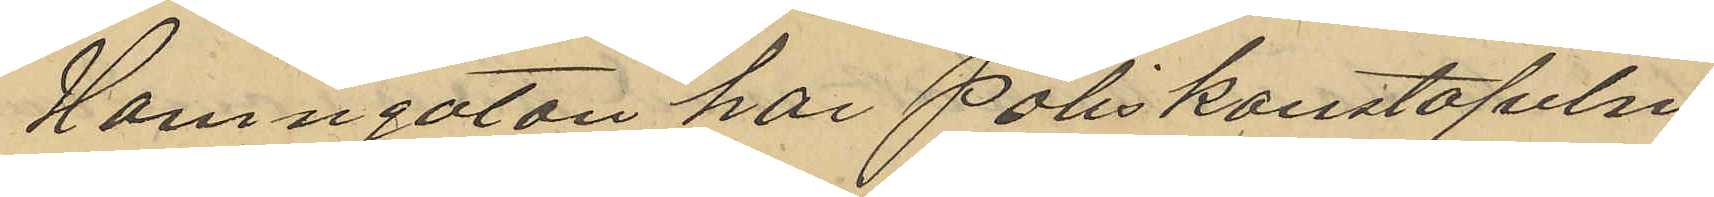Hamngatan har Poliskonstapeln
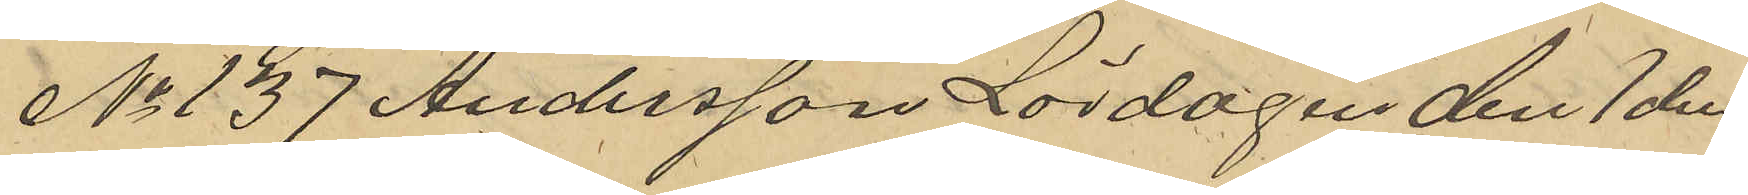No 137 Andersson Lördagen den 1 den
